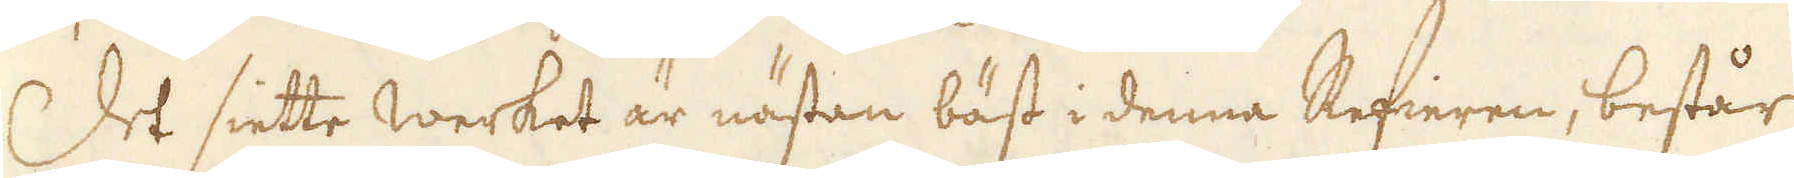Det siette werket är nästan bäst i denna Refieren, består
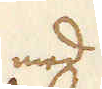med
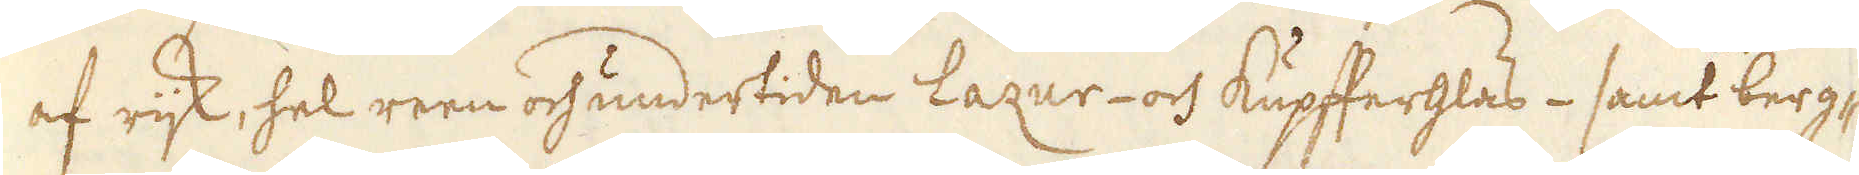af rijk, hel reen och undertiden Lazur- och Kupfferglas- samt berg-
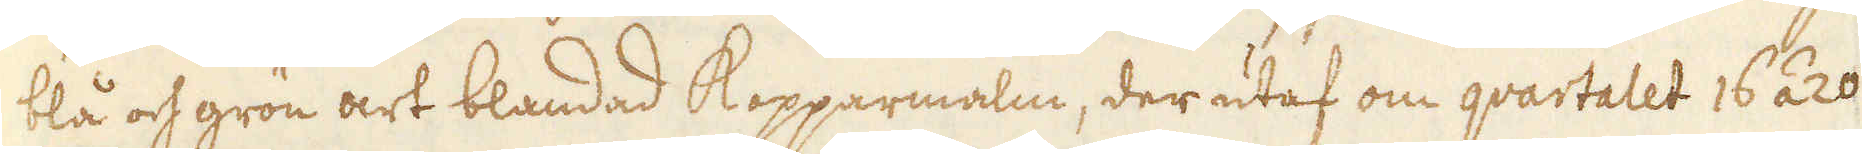blå och grön art blandad Kopparmalm, der utaf om qvartatet 16 á 20
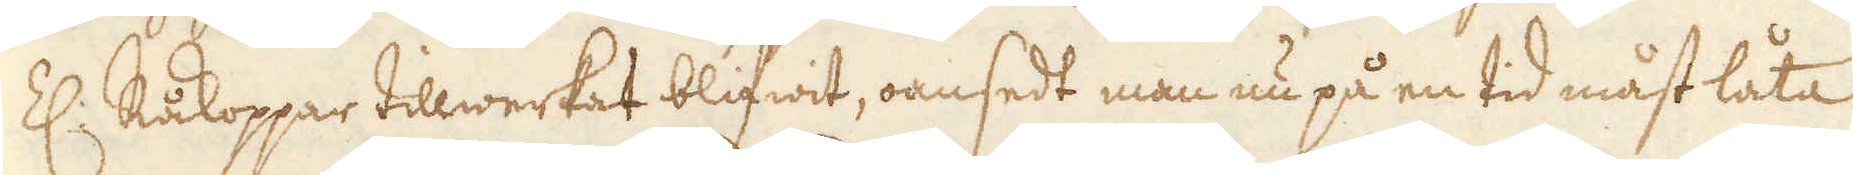Z: Råkoppar tillwerkat blifwit, oansedt man nu på en tid måst låta
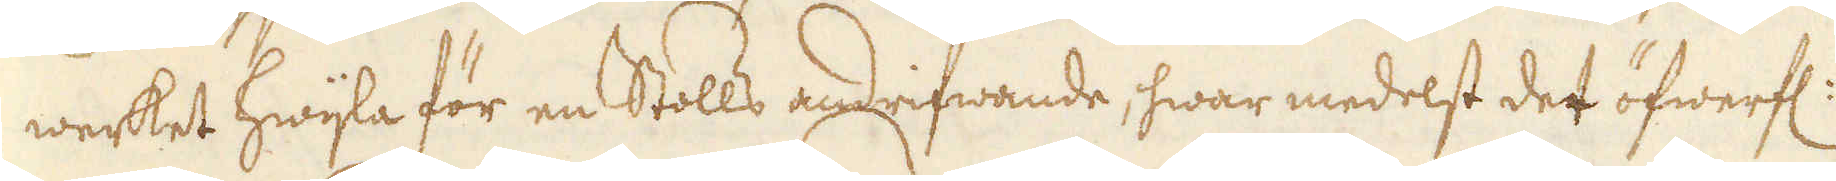werket hwijla för en Stolls andrifwande, hwar medelst det öfwerfl:
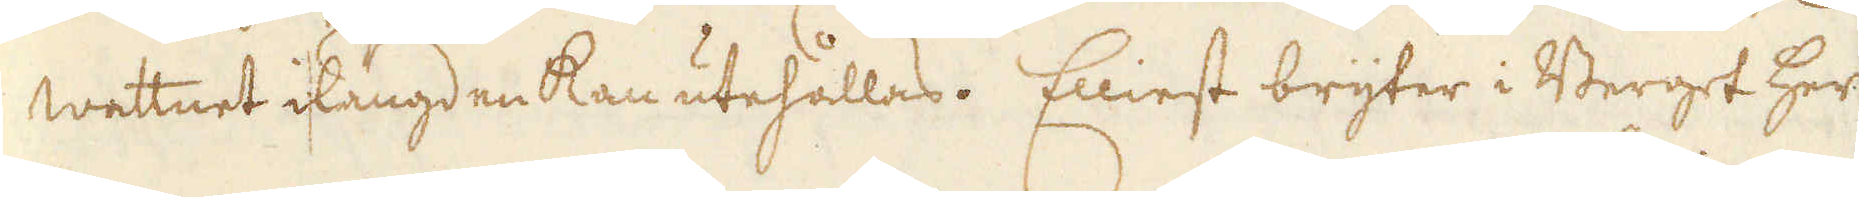wattnet i längden kan utehållas. Elliest bryter i Berget her
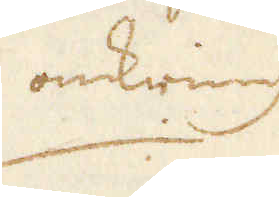omkring
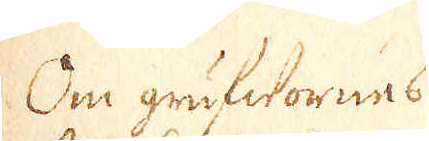Om grufwornes
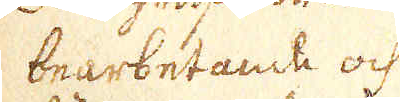bearbetande och
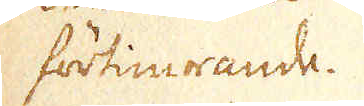förtimrande.
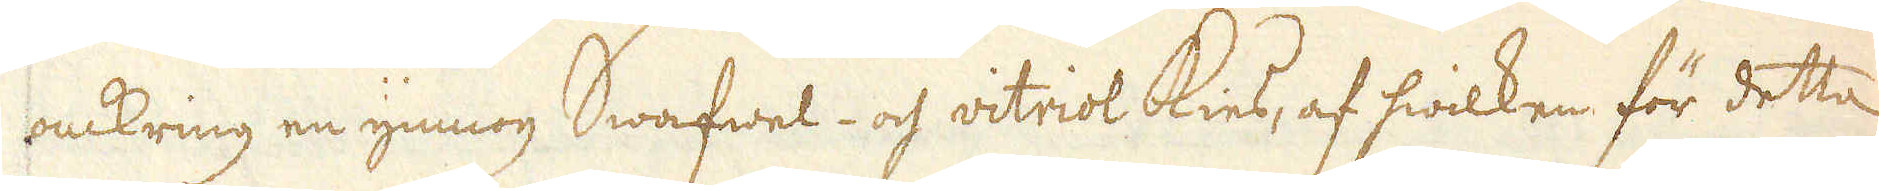omkring en ymnog Swafwel- och vitriol Kies, af hwilken för detta
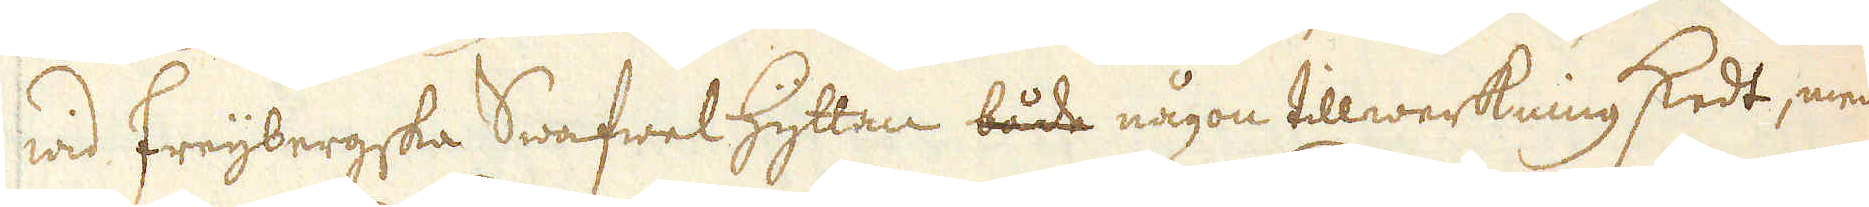wid Freijbergska Swafwel Hyttan både någon tillwerkning skedt, men
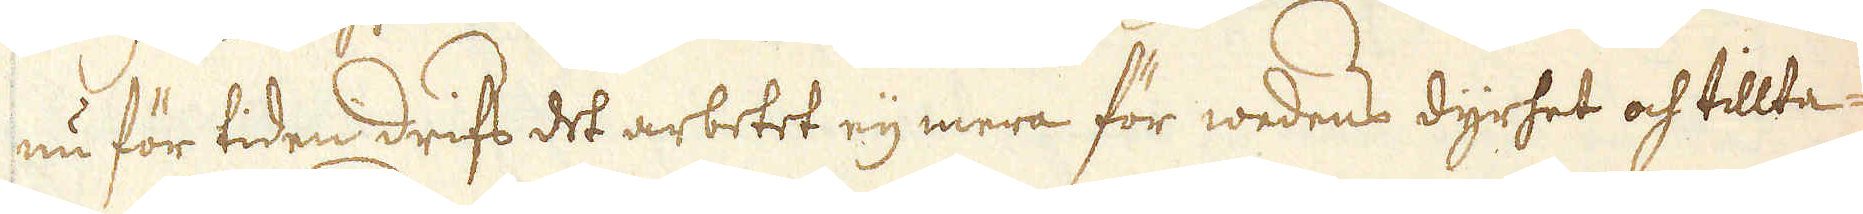nu för tiden drifs det arbetet eij mera för wedens dyrhet och tillta-
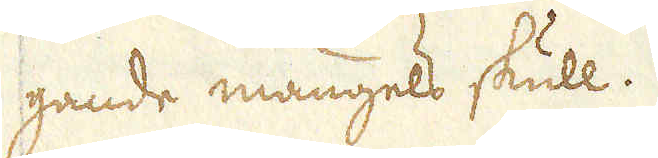gande mangels skull.
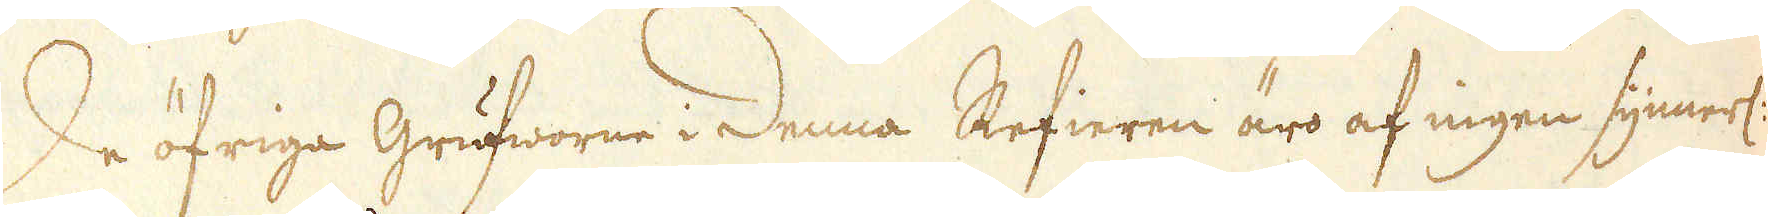De öfriga Grufworne i Denna Refieren äro af ingen synnerl:
